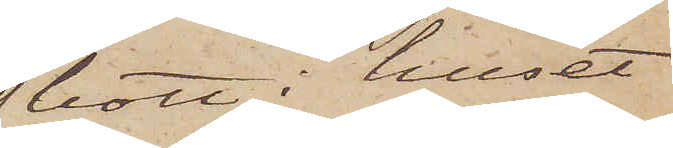bott i huset
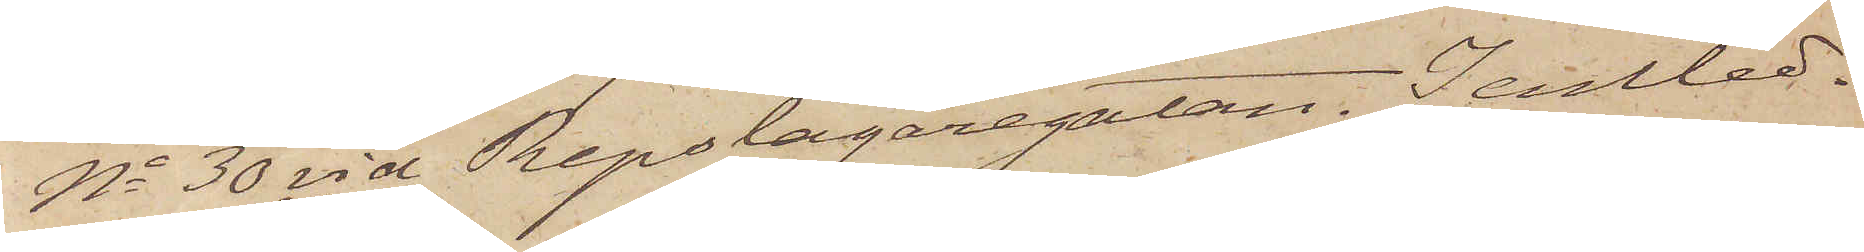no 30 vid Repslagaregatan. I anled¬
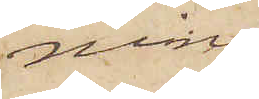ning
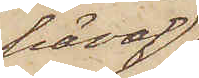häraf
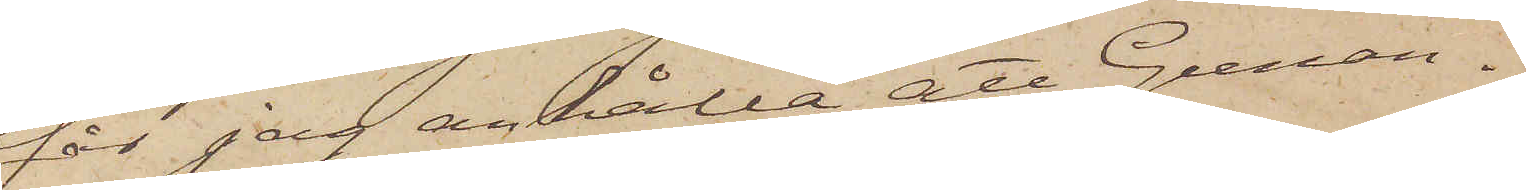får jag anhålla att Gunan¬
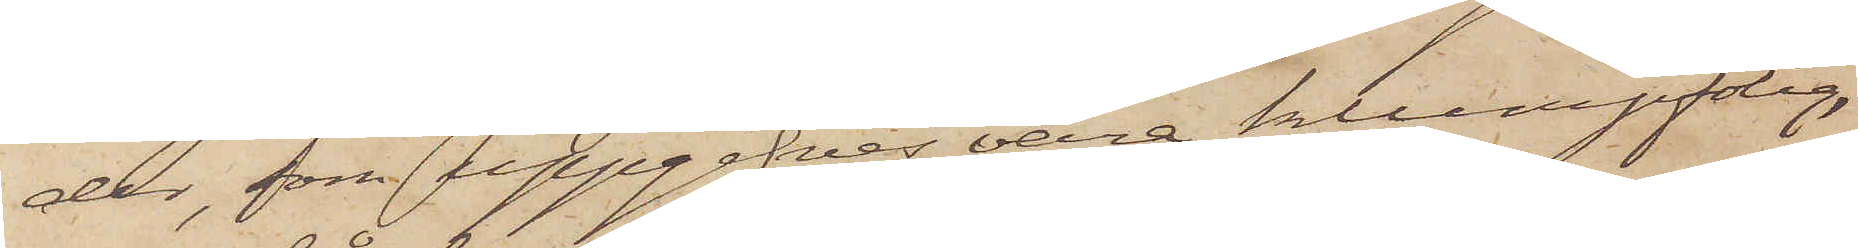der, som uppgifves vara klumpfotig,
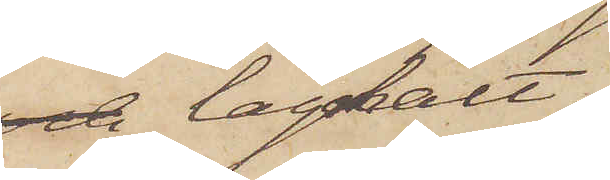och låghalt,
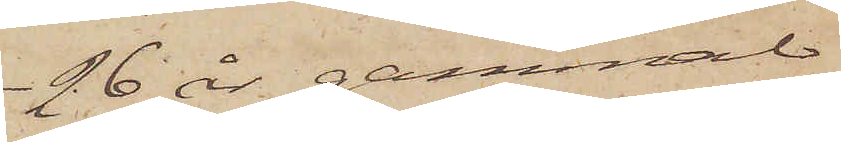26 år sammal
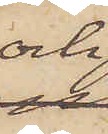och
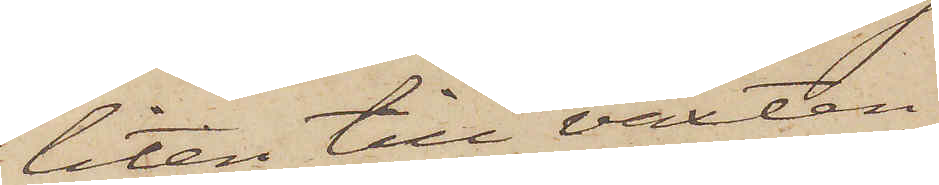liten till växten
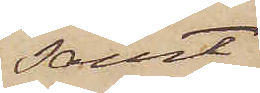samt
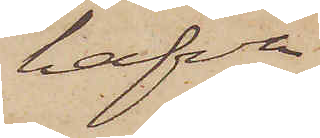hafva
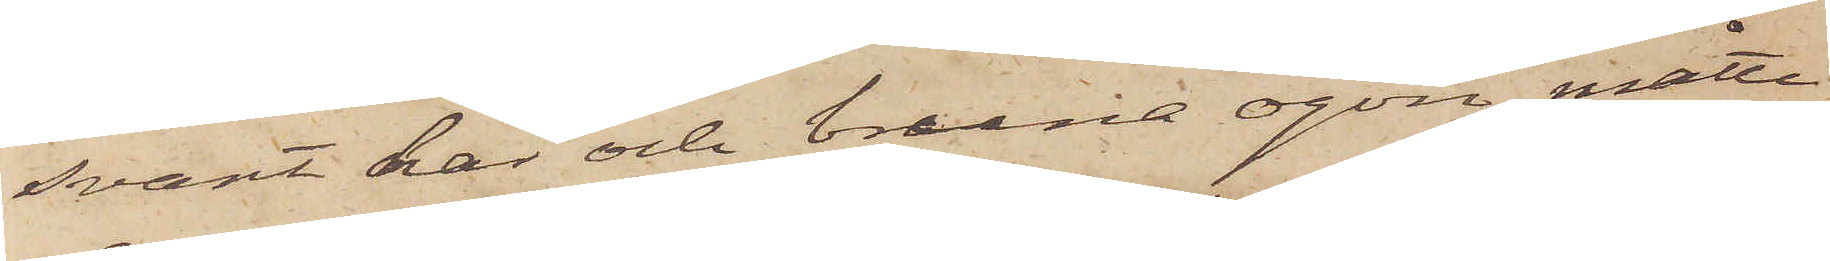svart hår och bruna ögon, måtte
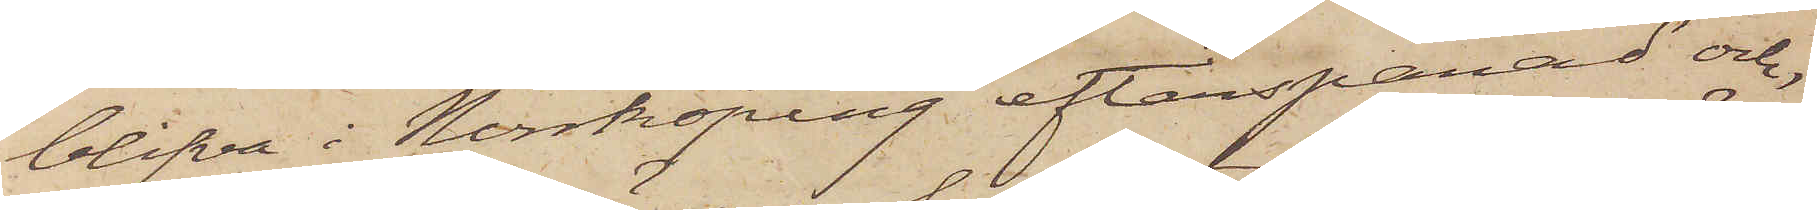blifva i Norrköping efterspanad och,
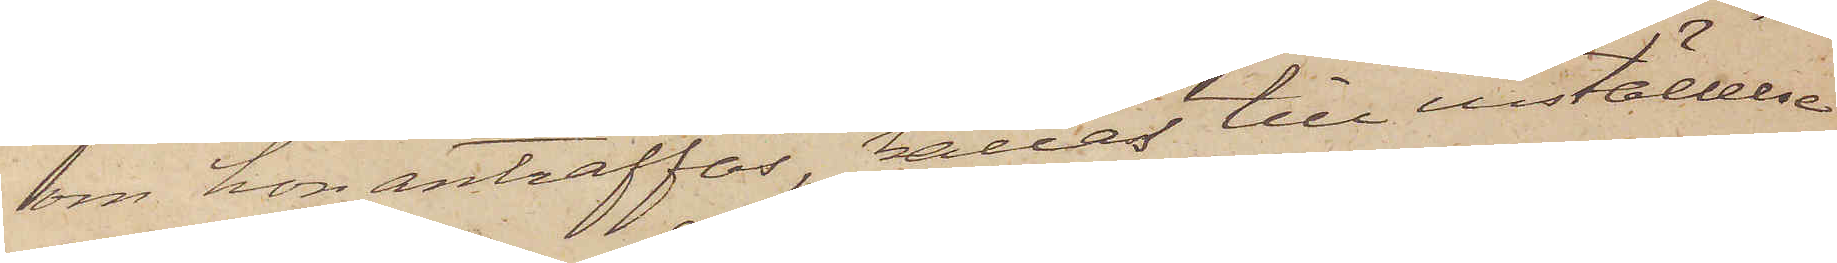om hon anträffas, kallas till inställelse
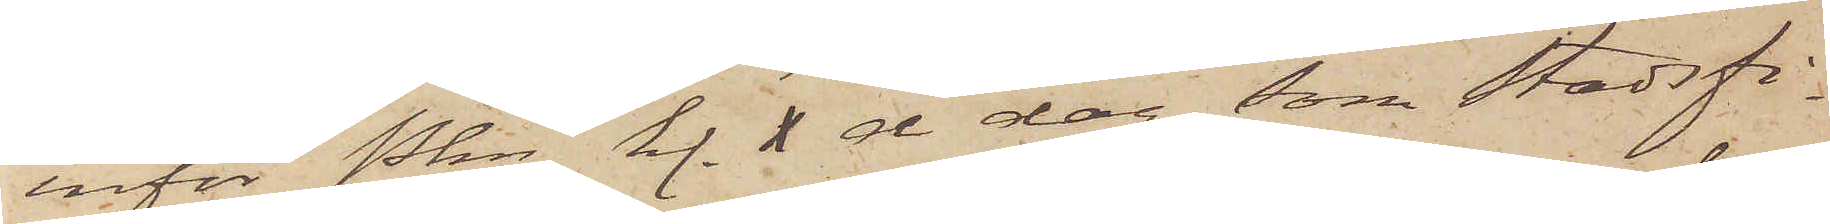inför Pkn kl. X å dag som stadsfi¬
